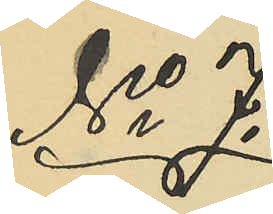No 7.
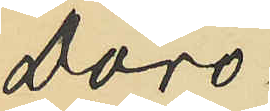Doro¬
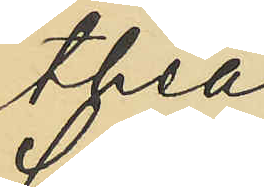thea
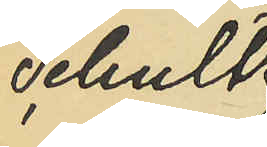Schultz.
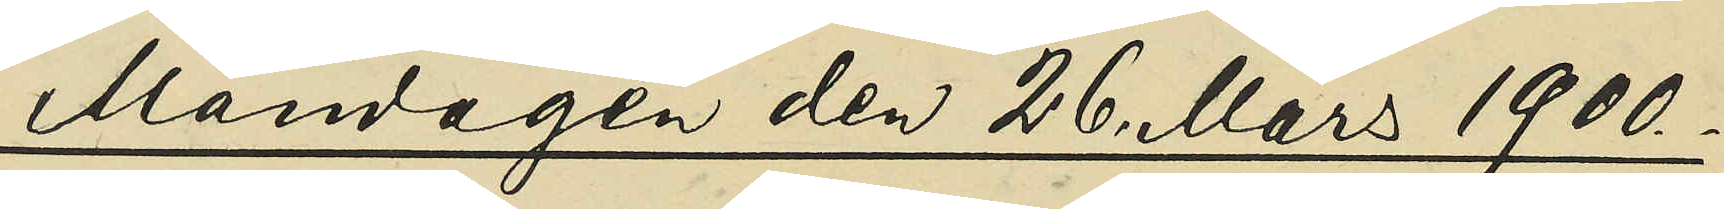Måndagen den 26 Mars 1900.
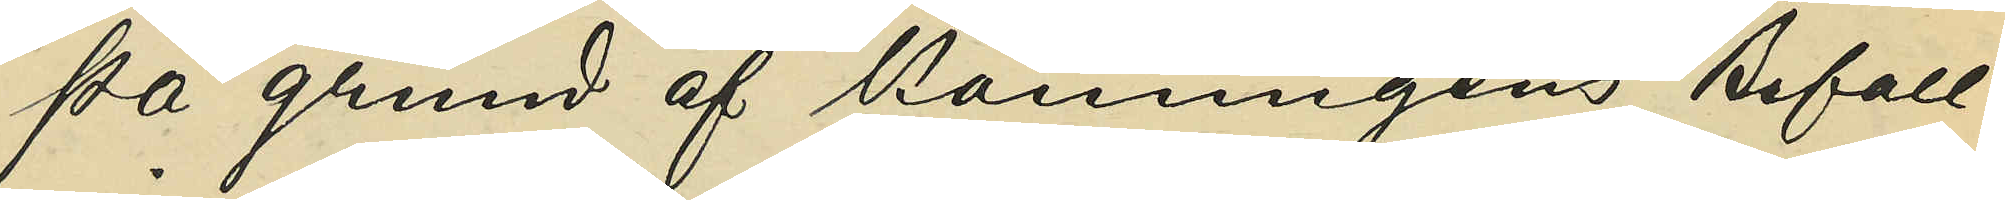På grund af Konungens Befall¬
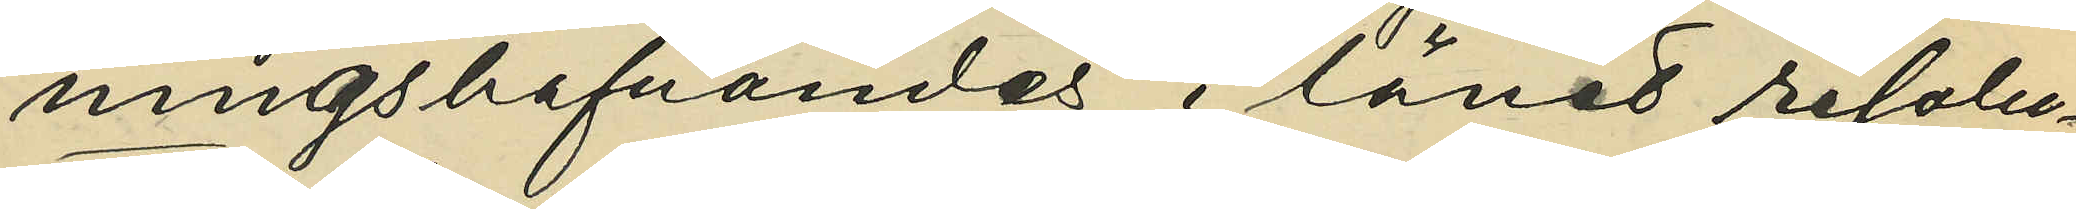ningshafvandes i länet resolu¬
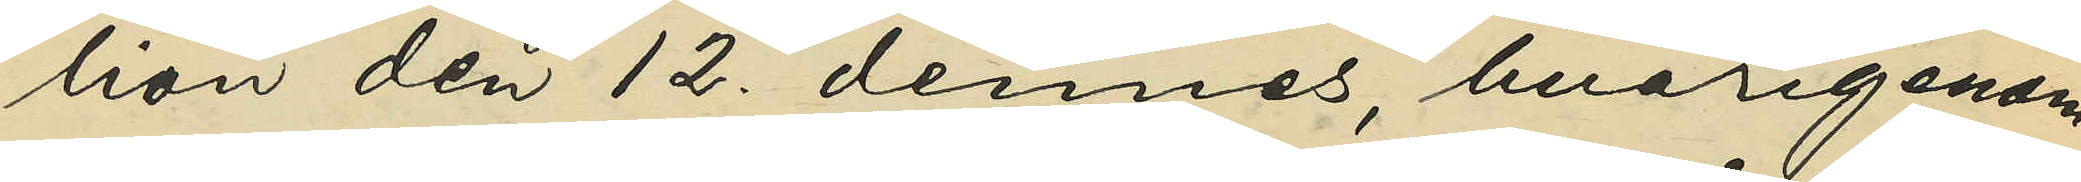tion den 12 dennes, hvarigenom
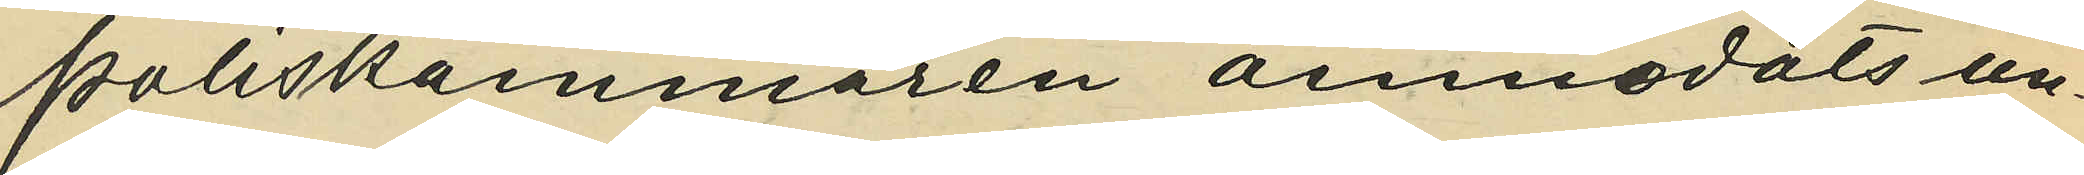Poliskammaren anmodats un¬
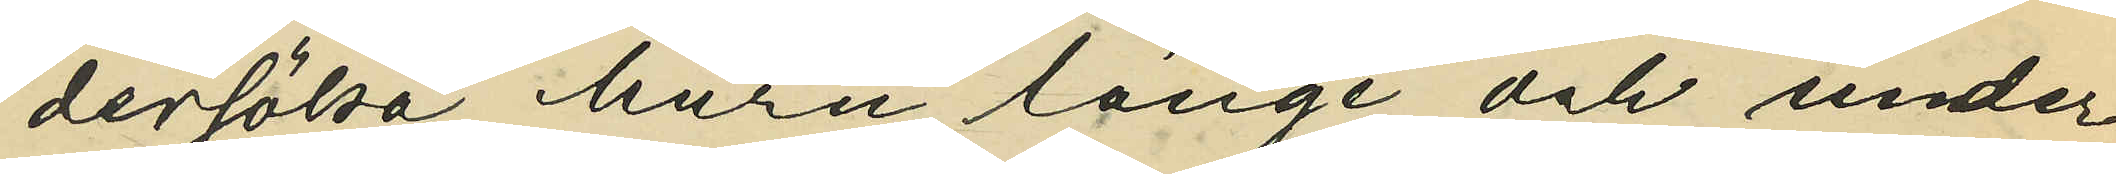dersöka, huru länge och under
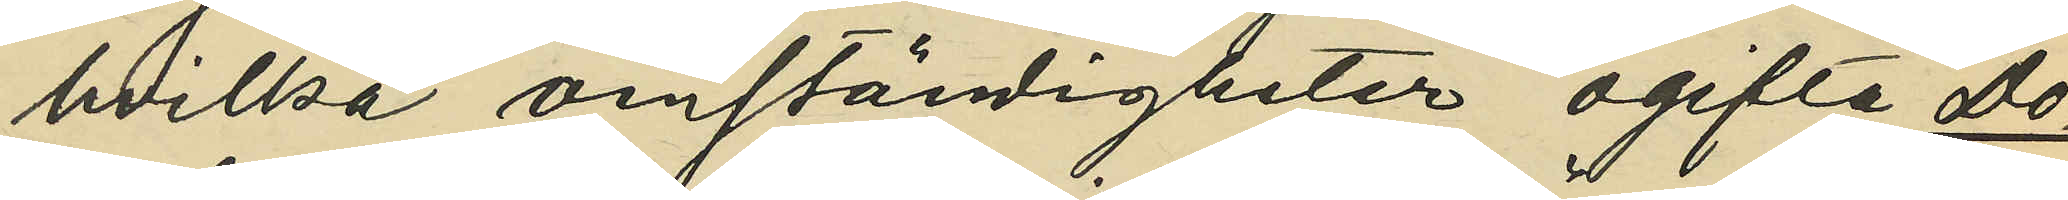hvilka omständigheter ogifta Do¬
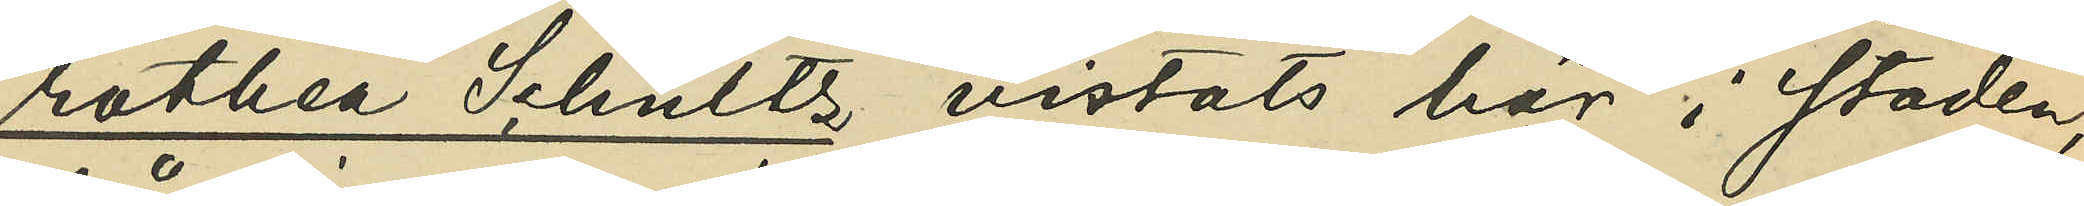rothea Schultz vistats här i staden,
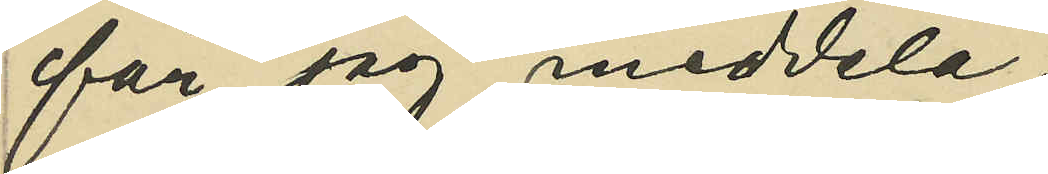får jag meddela:
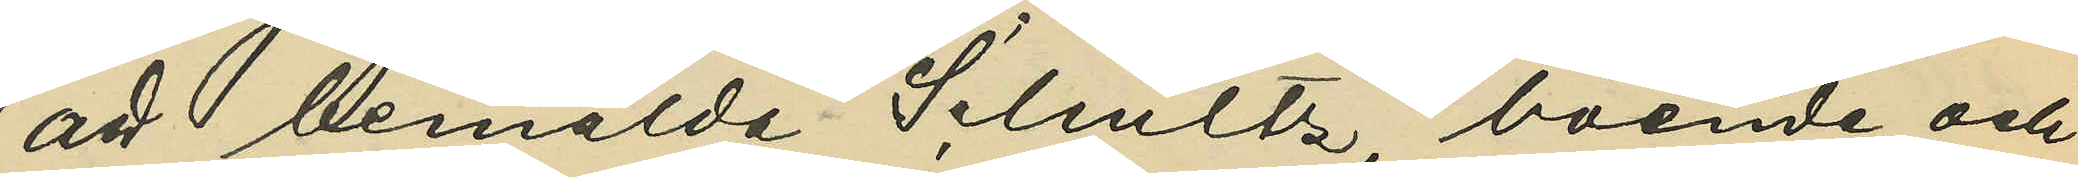att bemälda Schultz, boende och
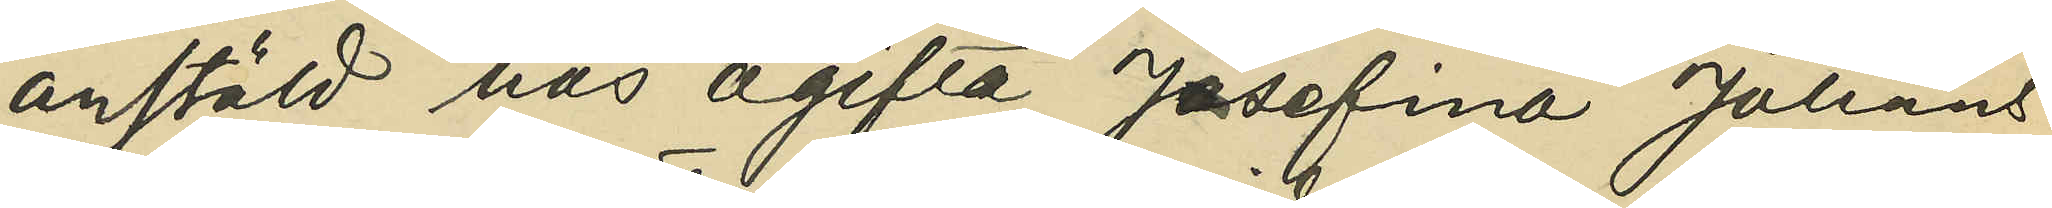anstäld hos ogifta Josefina Johans¬
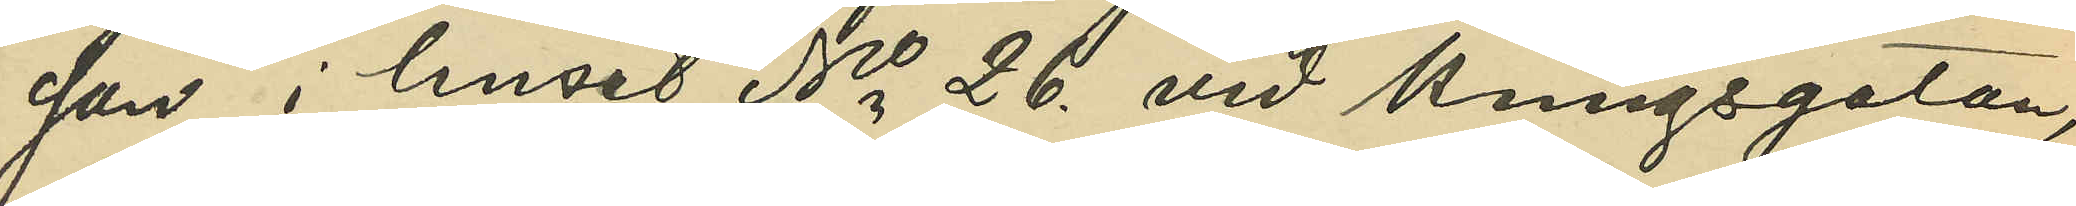son i huset No 26 vid Kungsgatan,
